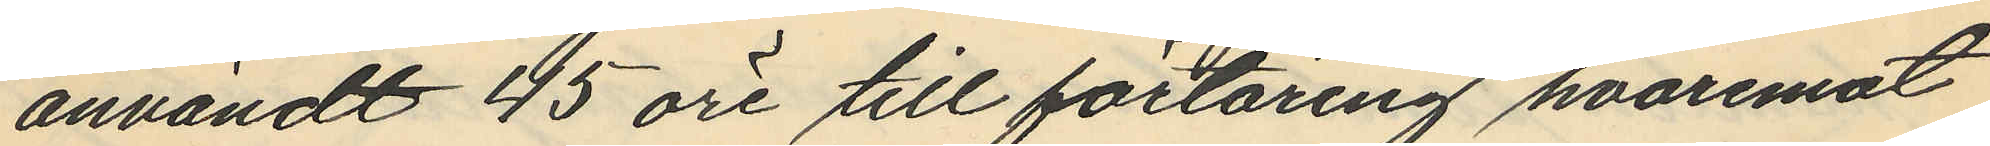användt 45 öre till förtäring hvaremot
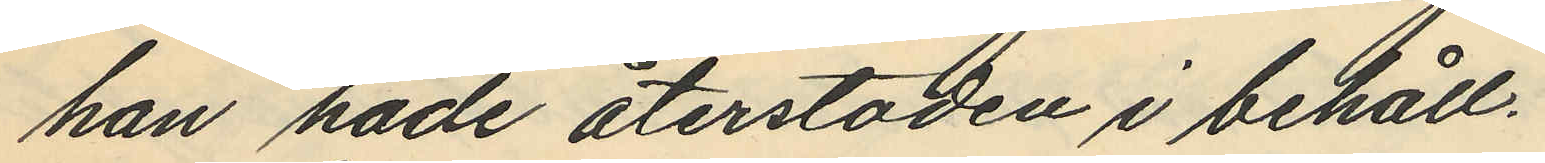han hade återstoden i behåll.
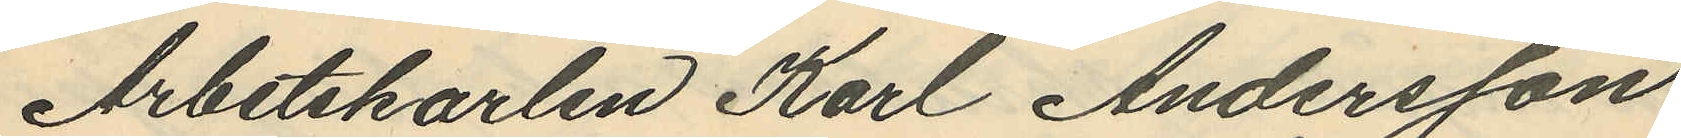Arbetskarlen Karl Andersson
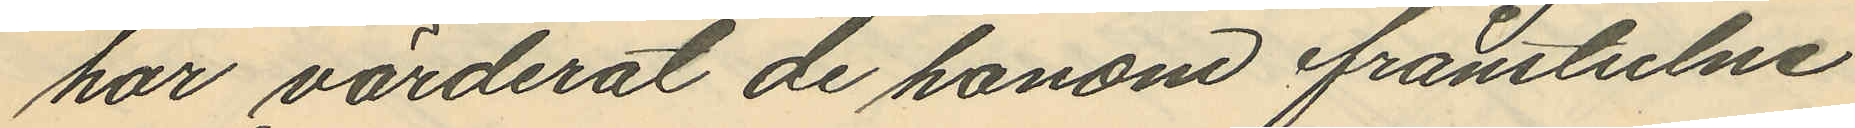har värderat de honom frånstulne
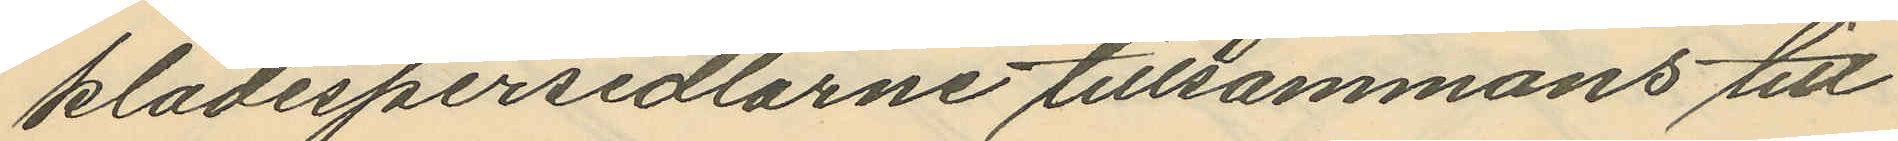klädespersedlarne tillsammans till
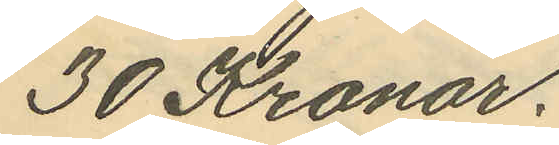30 Kronor.
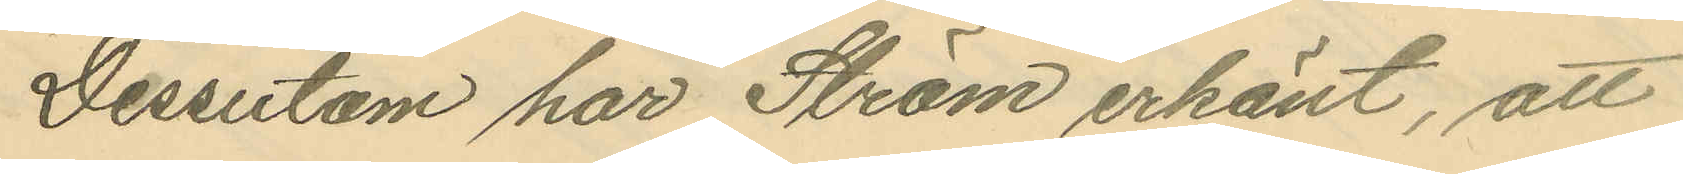Dessutom har Ström erkänt, att
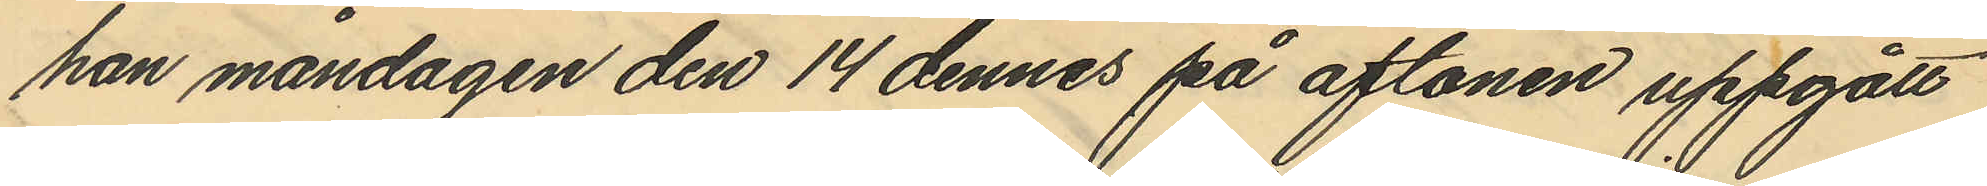han måndagen den 14 dennes på aftonen uppgått
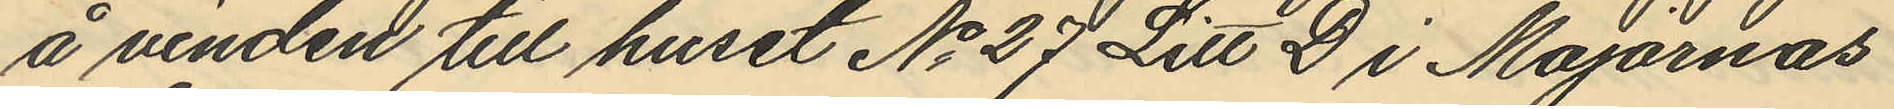å vinden till huset No 27 Litt D i Majornas
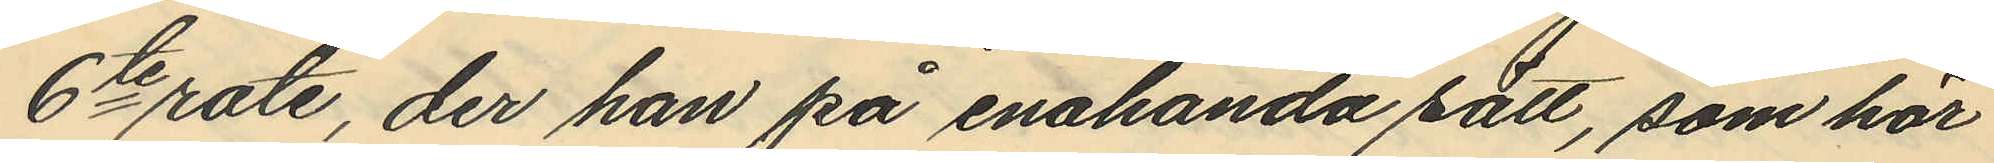6te rote, der han på enahanda sätt, som här
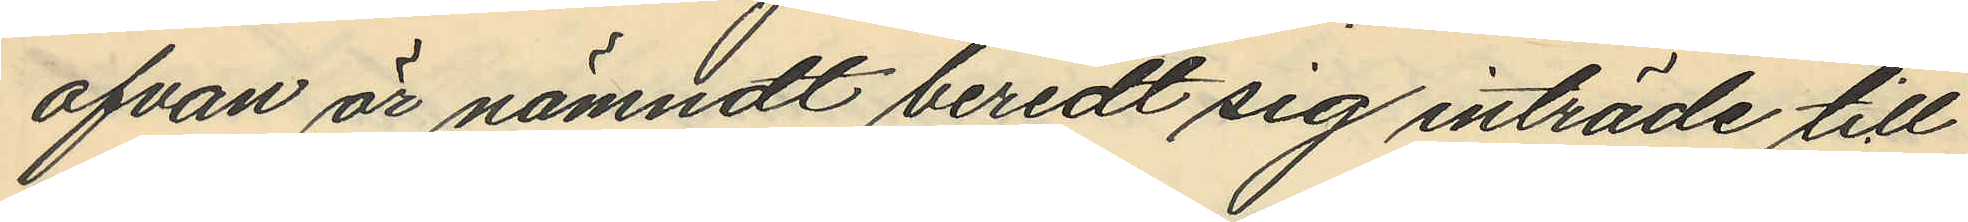ofvan är nämndt beredt sig inträde till
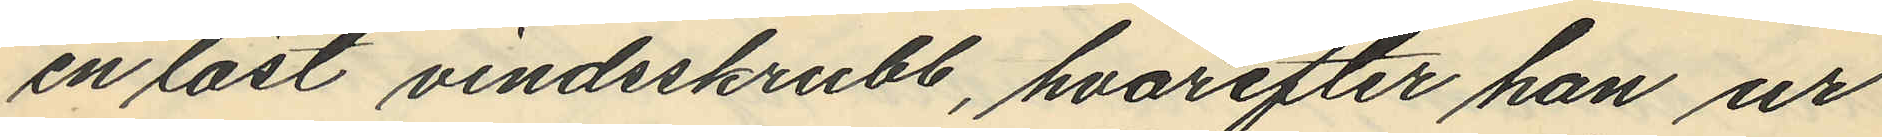en låst vindsskrubb, hvarefter han ur
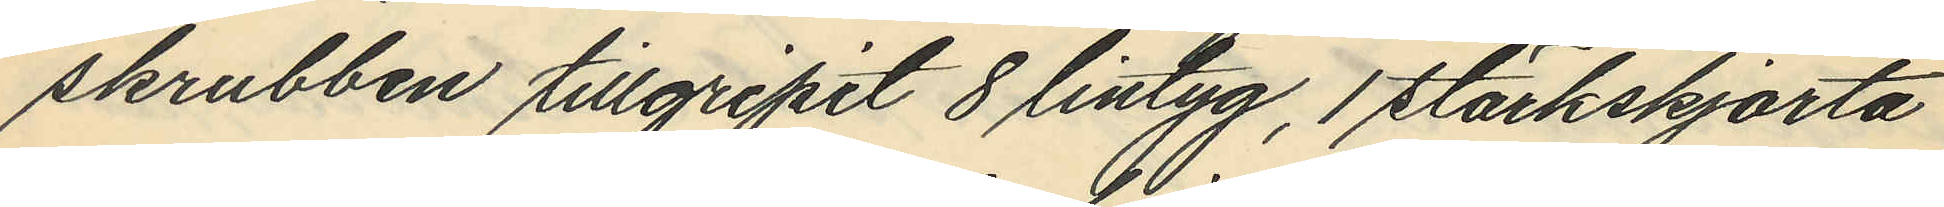skrubben tillgripit 8 lintyg, 1 stärkskjorta
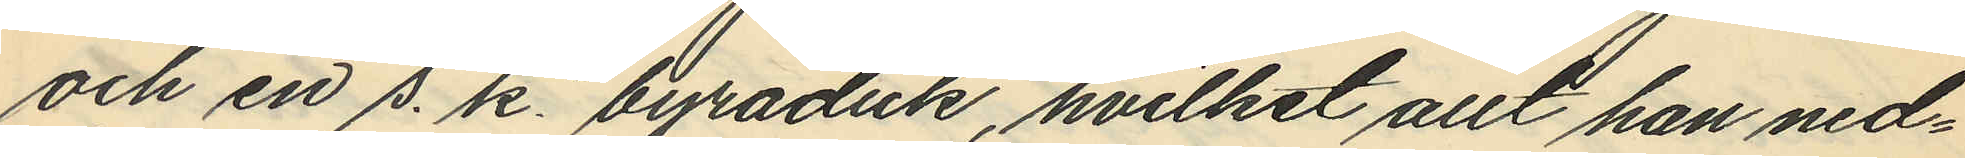och en s. k. byråduk, hvilket allt han ned¬
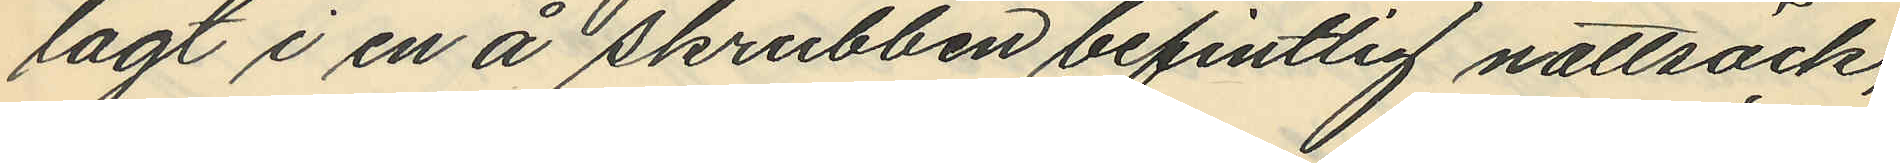lagt i en å skrubben befintlig nattsäck,
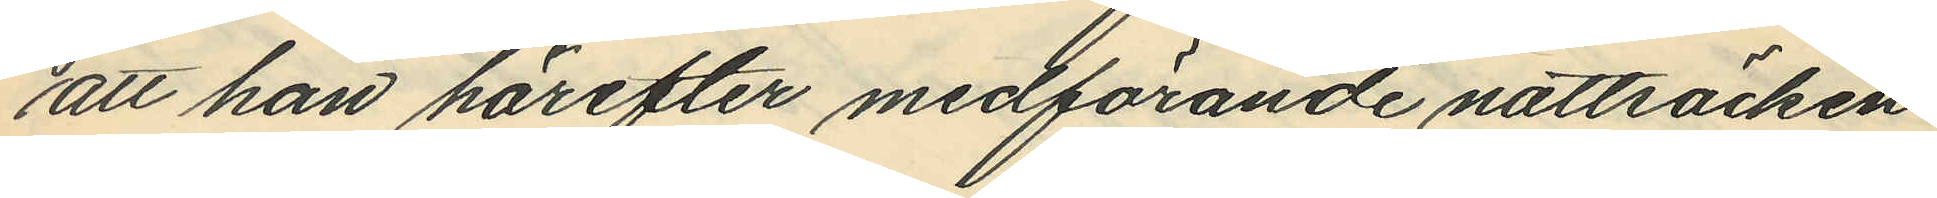att han härefter medförande nattsäcken
